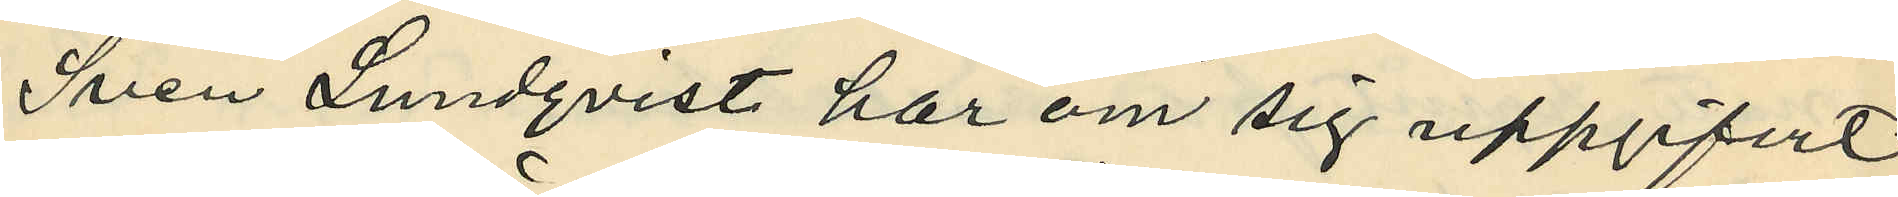Sven Lundqvist har om sig uppgifvit,
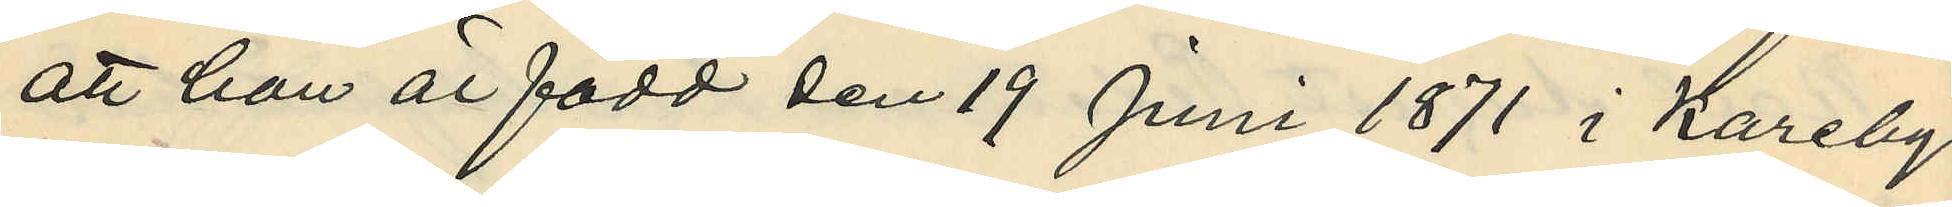att han är född den 19 Juni 1871 i Kareby
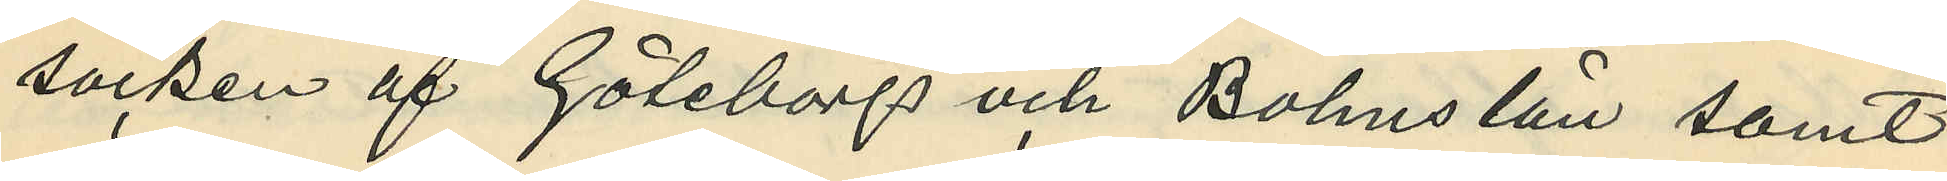socken af Göteborgs och Bohus län samt
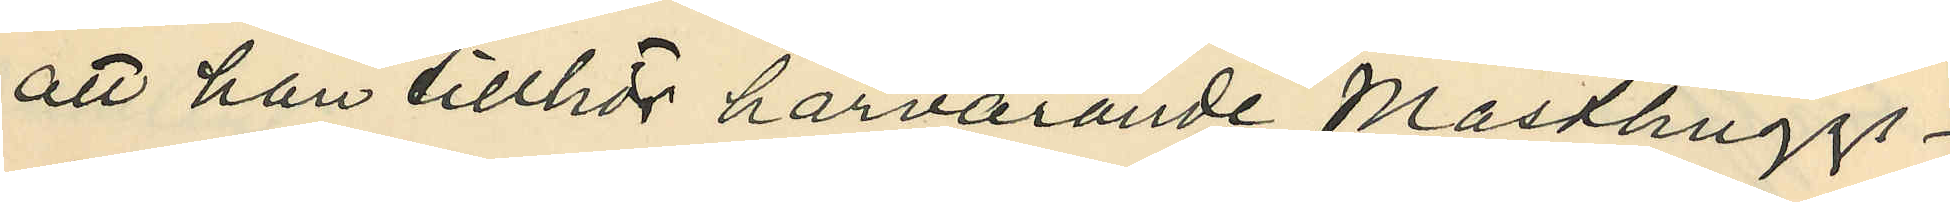att han tillhör härvarande Masthuggs¬
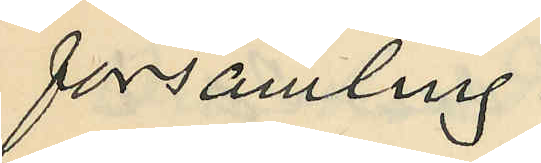församling.
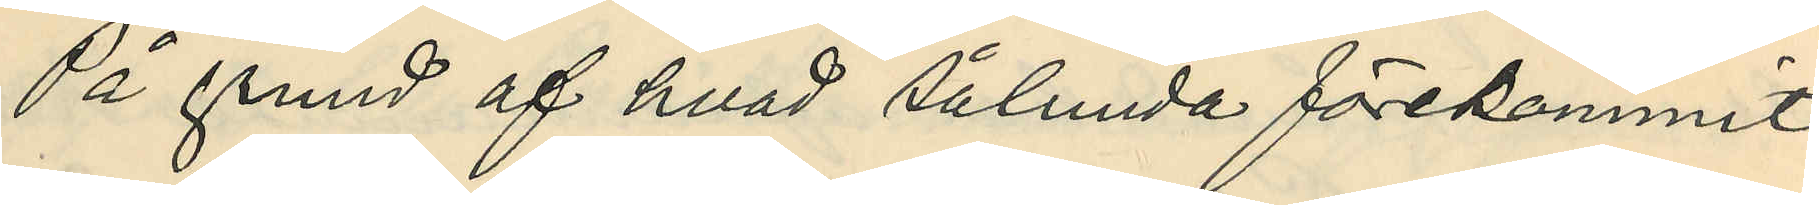På grund af hvad sålunda förekommit
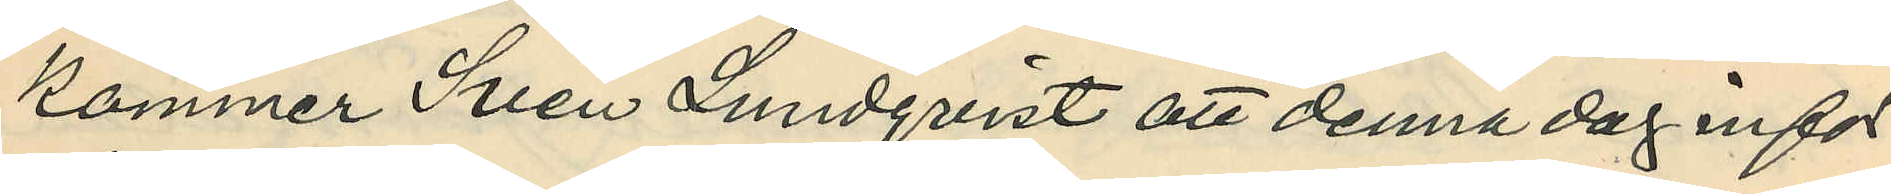kommer Sven Lundqvist att denna dag infor
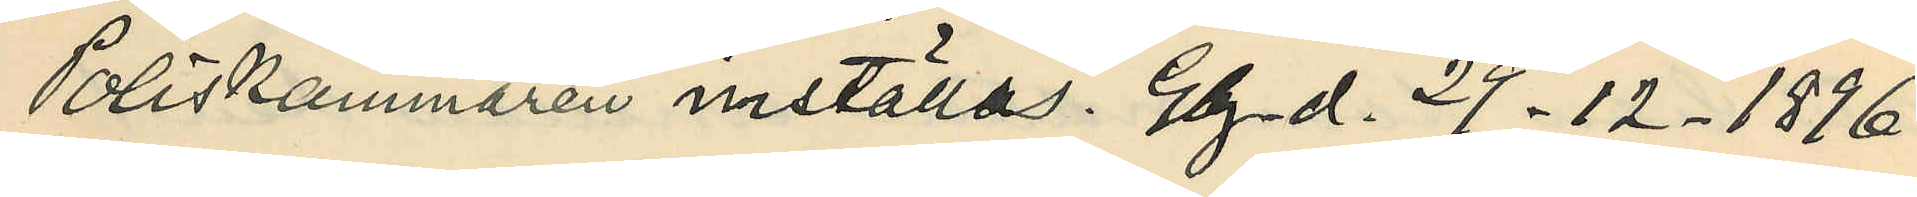Poliskammaren inställas. Gbg. d. 29.12.1896.
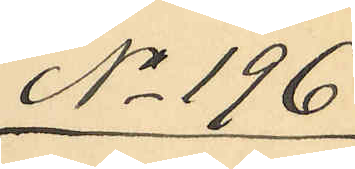No 196
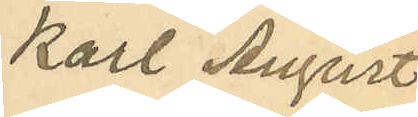Karl August
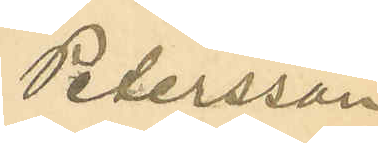Petersson
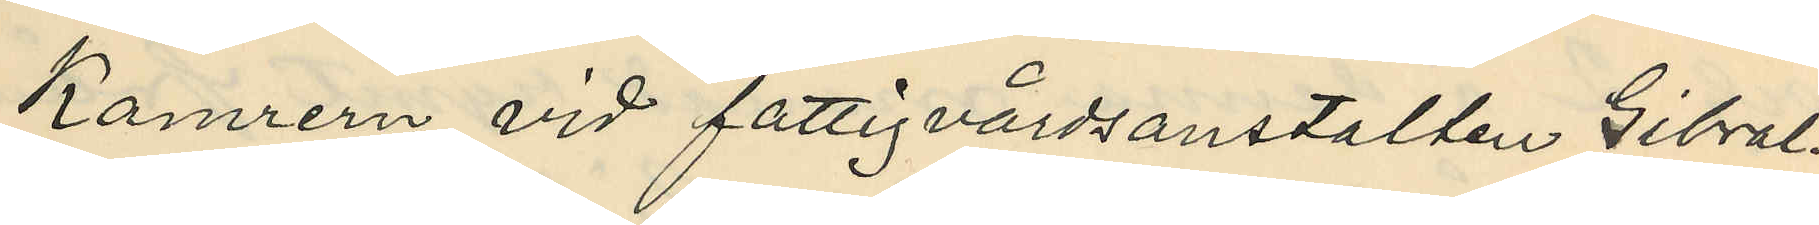Kamrern vid fattigvårdsanstalten Gibral¬
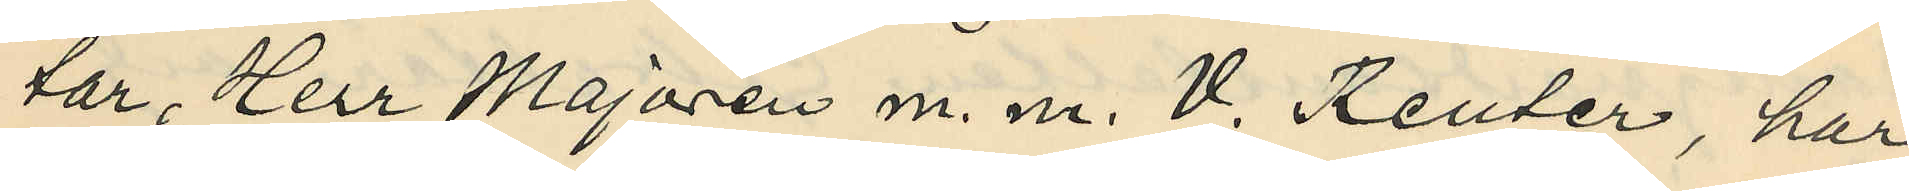tar, Herr Majoren m. m. V. Reuter, har
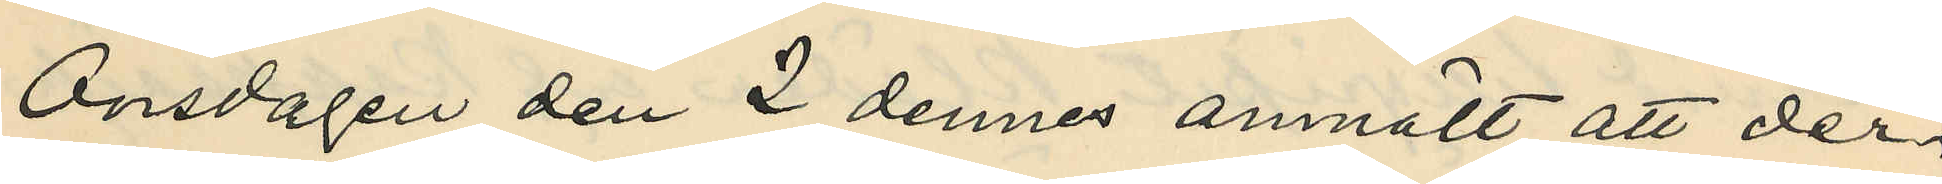Onsdagen den 2 dennes anmält att der¬
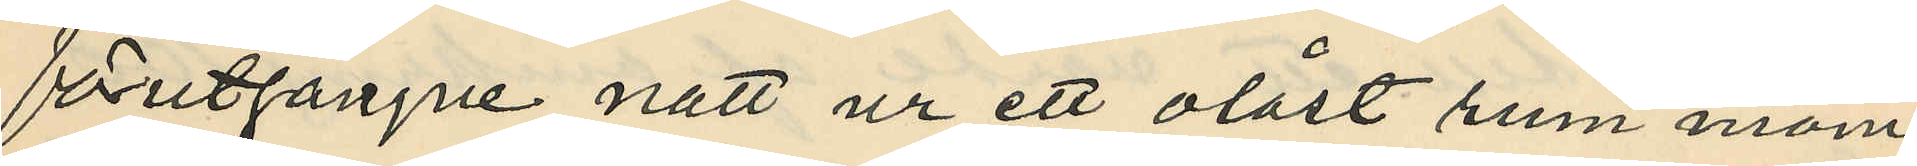förutgångne natt ur ett olåst rum inom
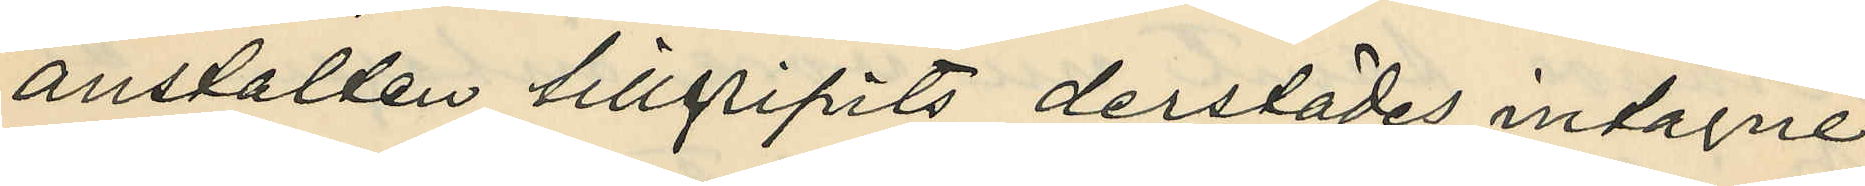anstalten tillgripits derstädes intagne
